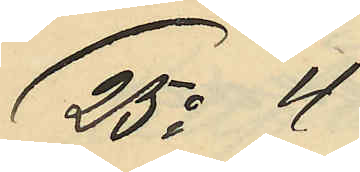25o 4
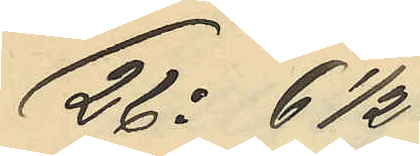26o 6 1/2
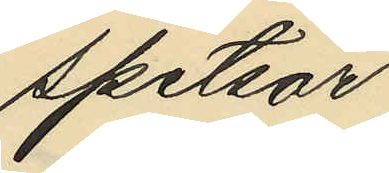spetsar
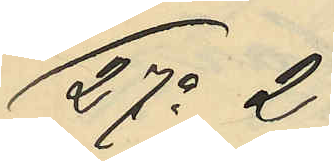27o 2
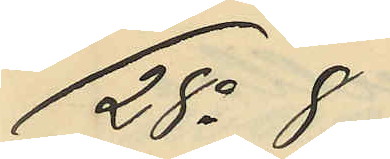28o 8
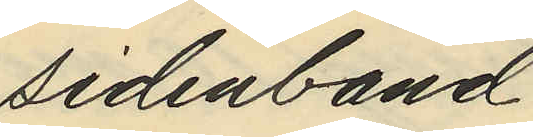sidenband
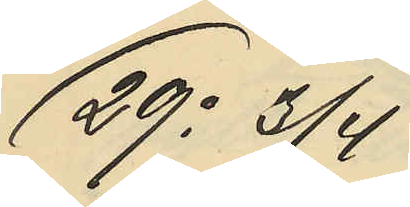29o 3/4
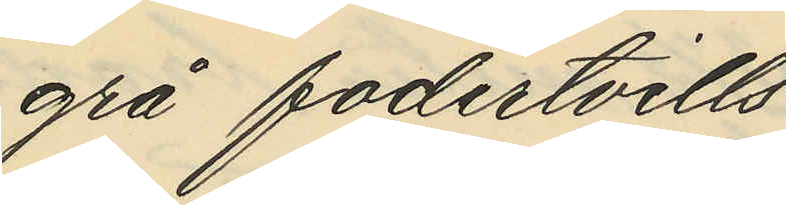grå fodertvills
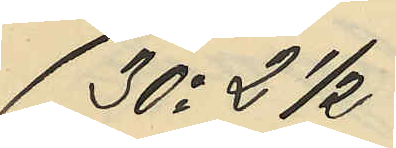30o 2 1/2
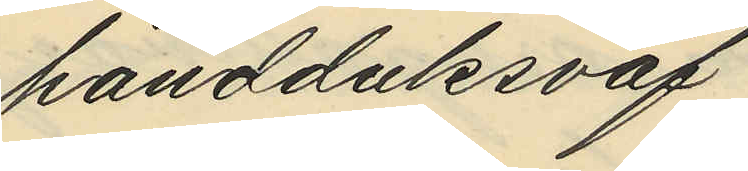handduksväf
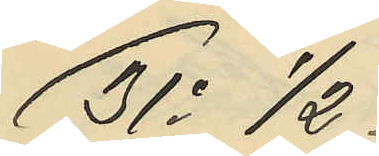31o 1/2
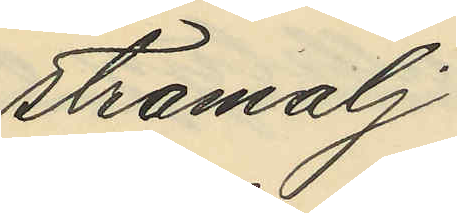stramalj
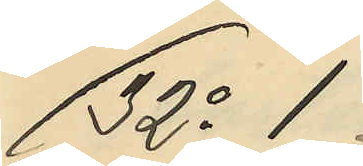32o 1
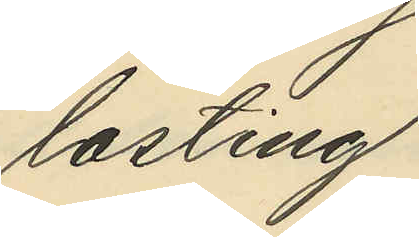lasting
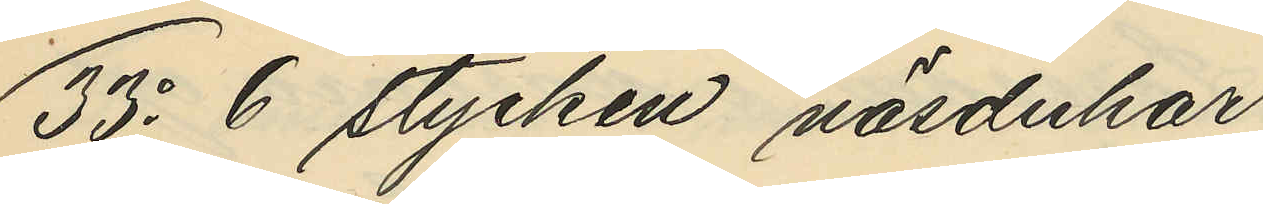33o 6 stycken näsdukar
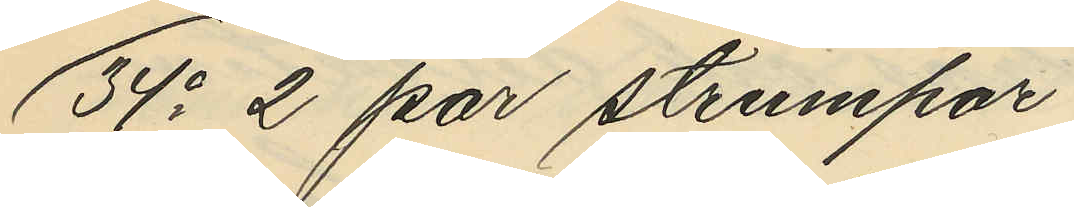34o 2 par strumpor
